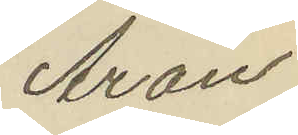Aron
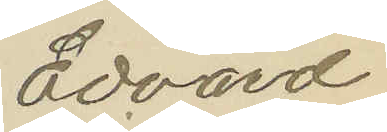Edvard
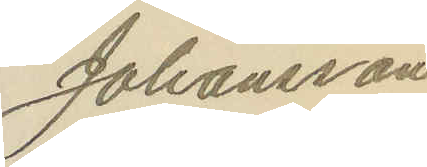Johansson
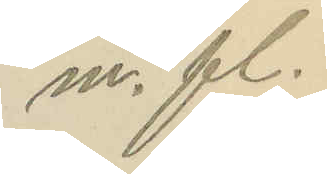m. fl.
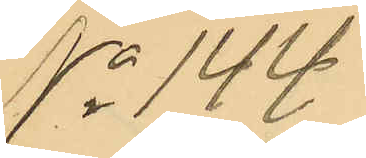No 144
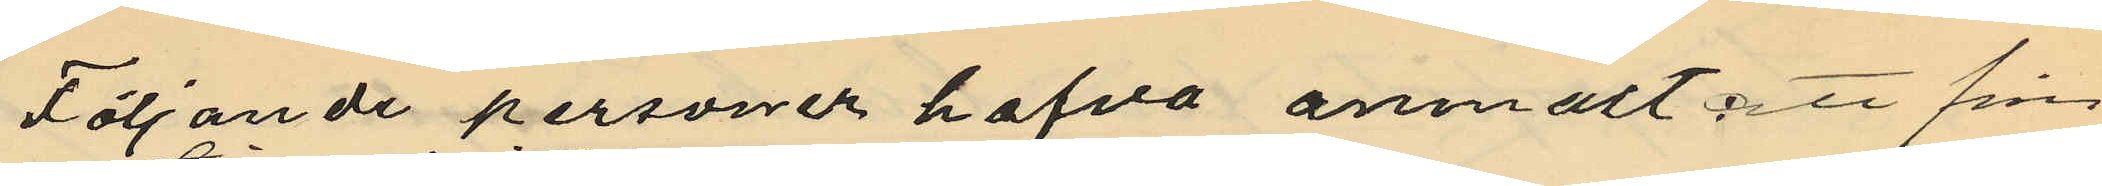Följande personer hafva anmält: att från
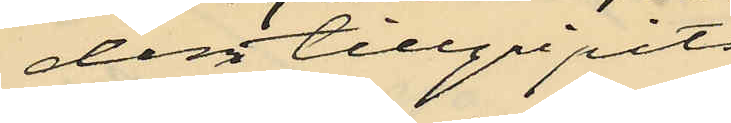dem tillgripits
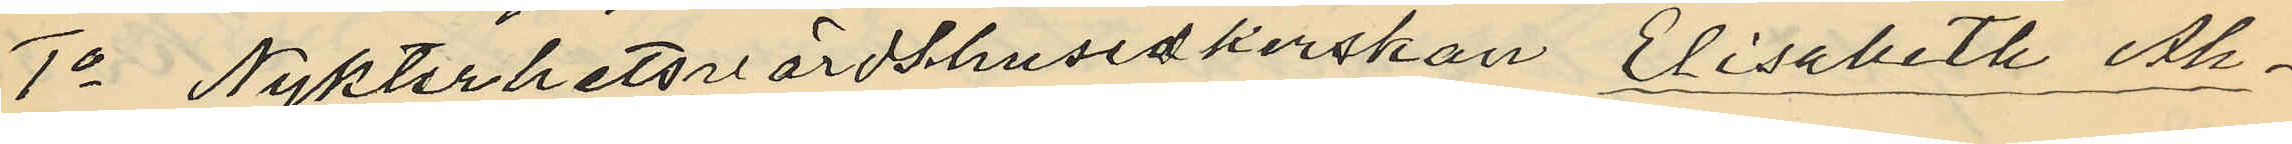1o Nykterhetsvärdshusidkerskan Elisabeth Åh¬
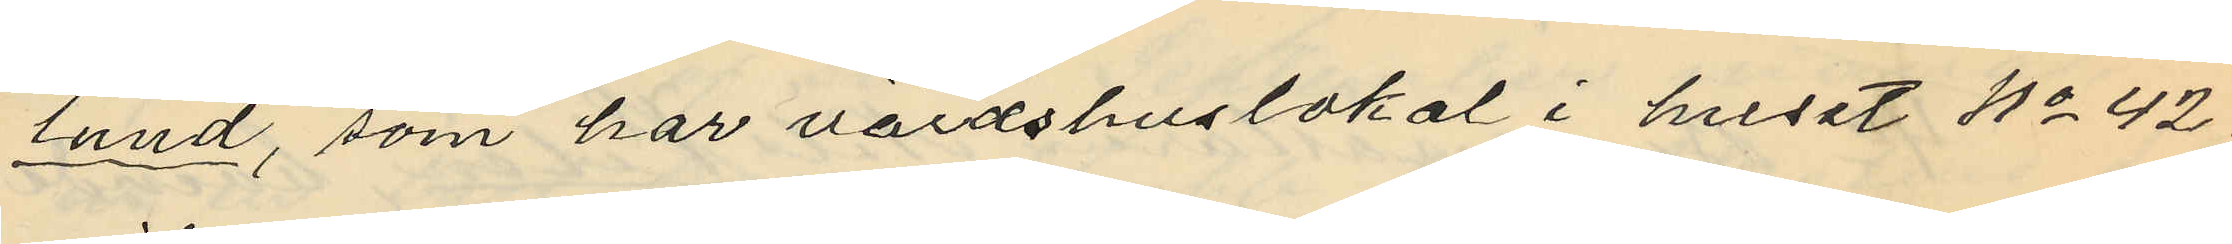lund, som har värdshuslokal i huset No 42
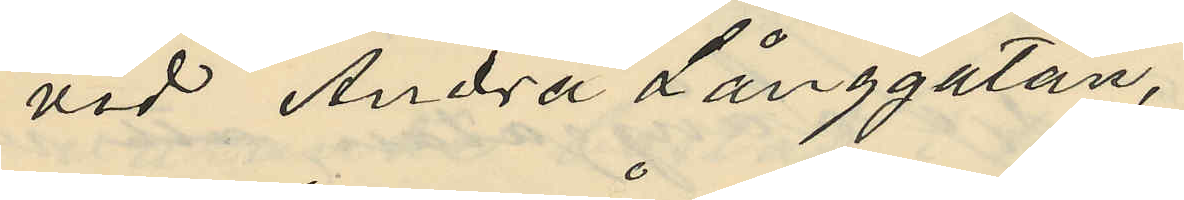vid Andra Långgatan,
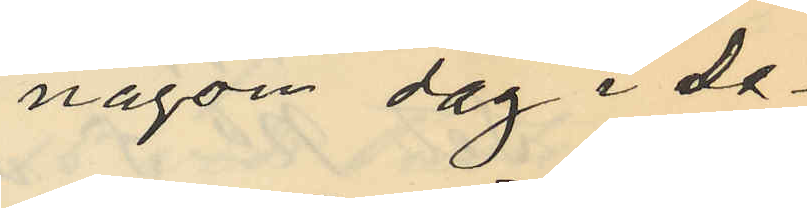någon dag i De¬
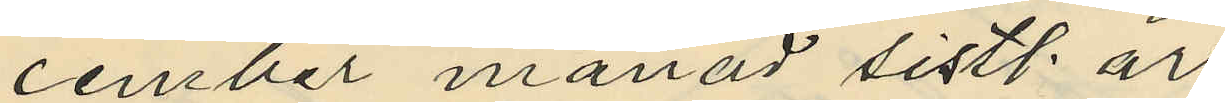cember månad sistl. år
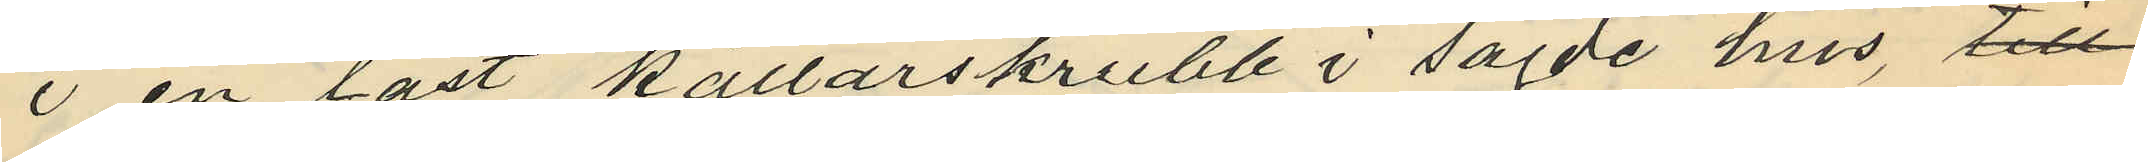i en låst källarskrubb i sagde hus, till
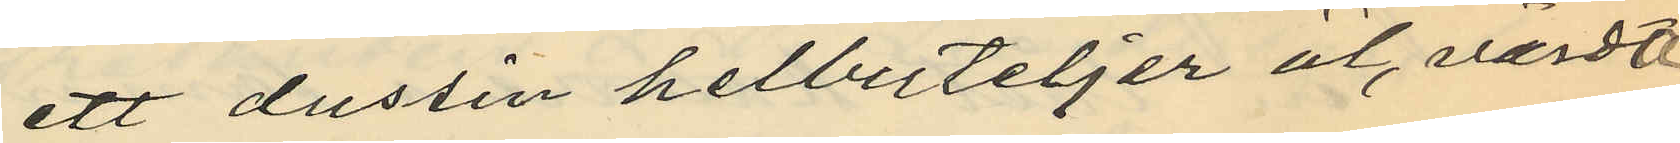ett dussin helbuteljer öl, värdt
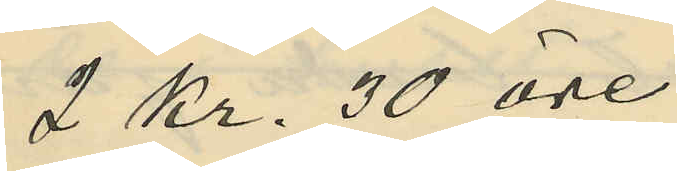2 Kr. 30 öre
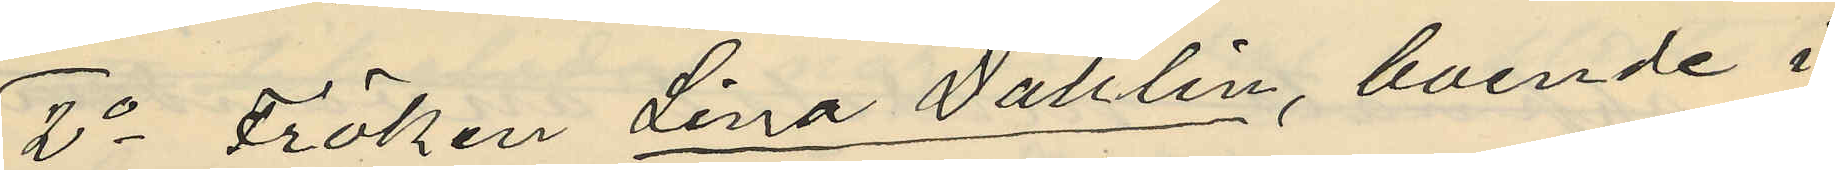2o Fröken Lina Dahlin, boende i
